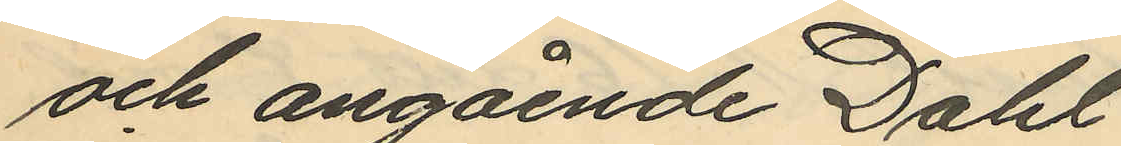och angående Dahl
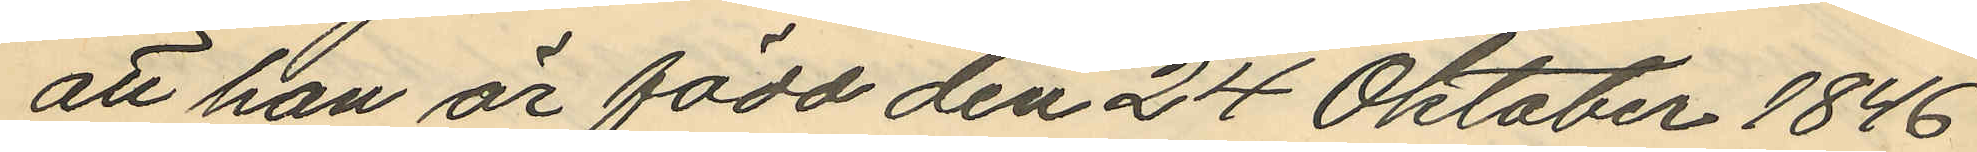att han är född den 24 Oktober 1846.
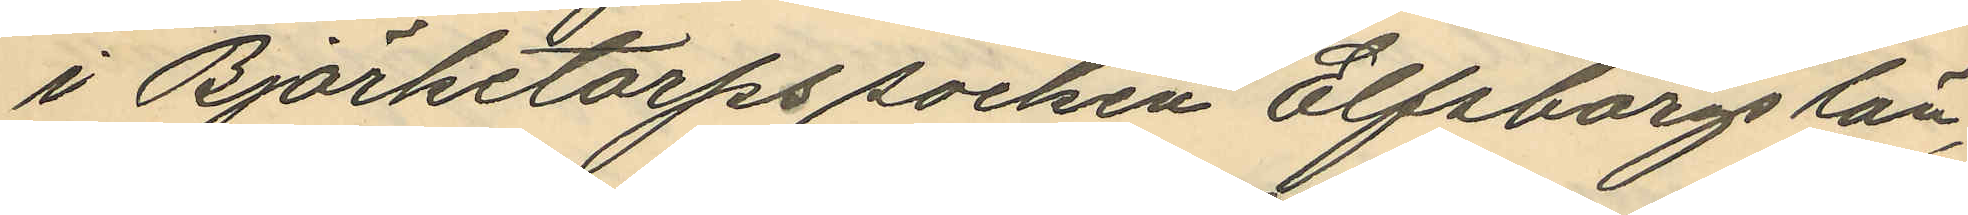i Björketorps socken Elfsborgs län,
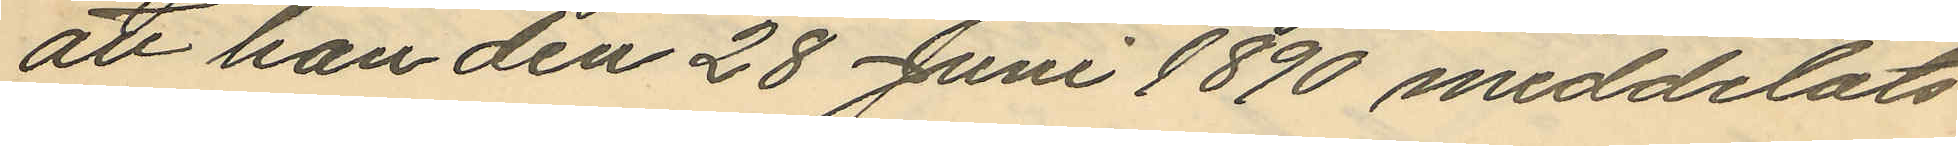att han den 28 Juni 1890 meddelats
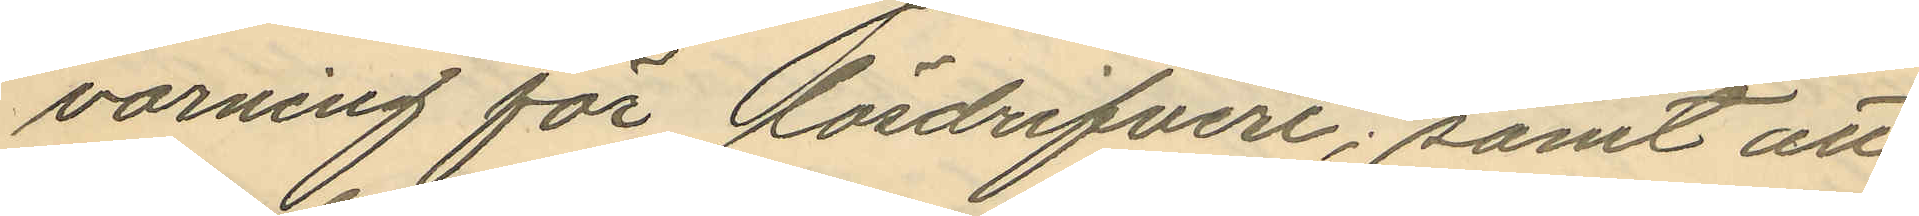varning för lösdrifveri; samt att
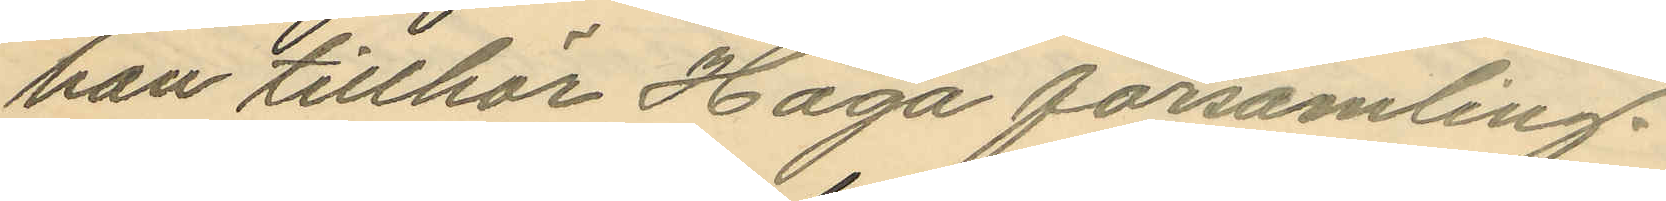han tillhör Haga församling.
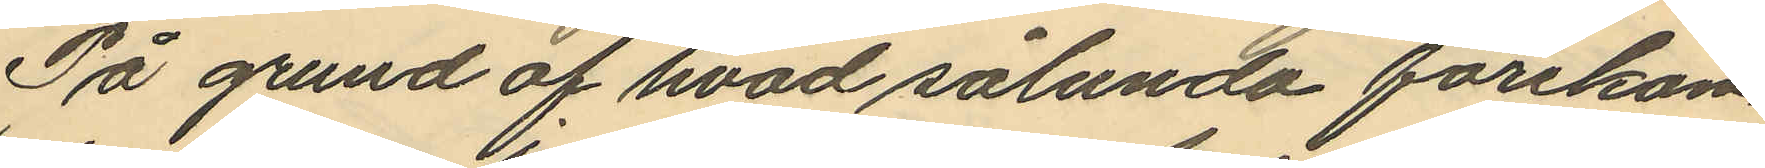På grund af hvad sålunda förekom¬
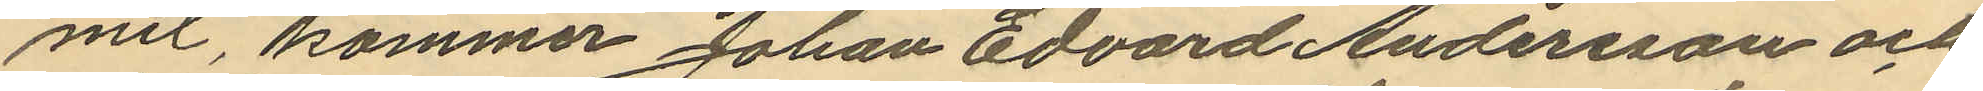mit, kommer Johan Edvard Andersson och
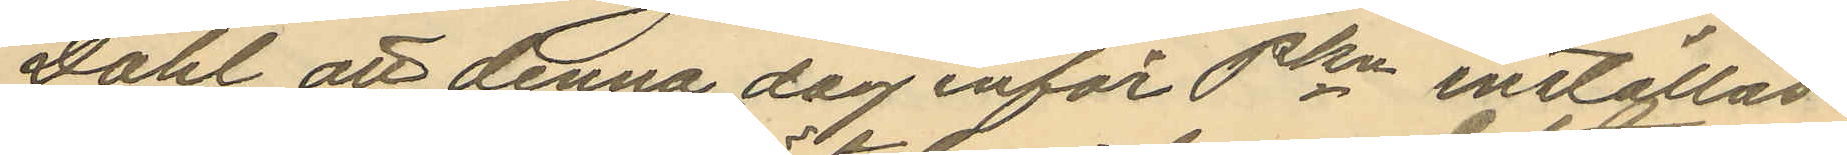Dahl att denna dag inför Pkn inställas.
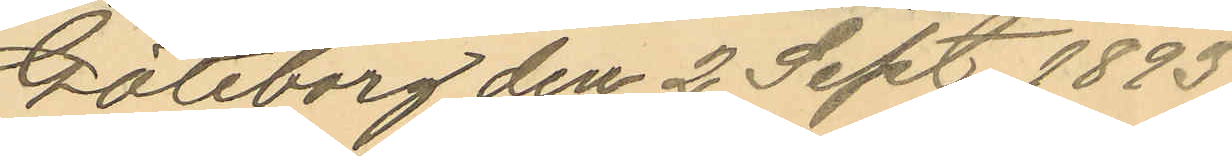Göteborg den 2 Sept. 1893.
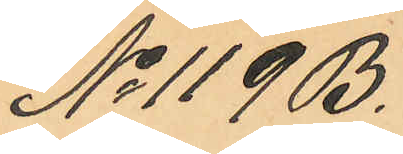No 119 B.
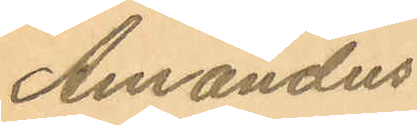Amandus
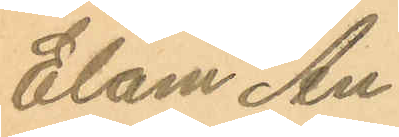Elam An¬
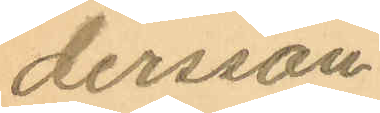dersson
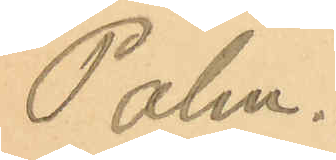Palm.
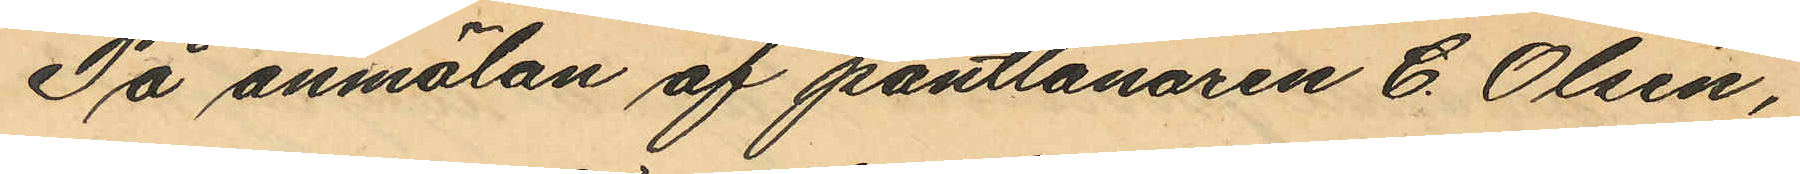På anmälan af pantlånaren C. Olsén,
